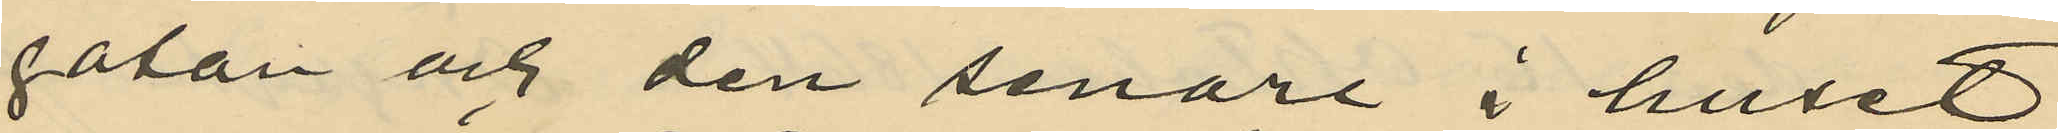gatan och den senare i huset
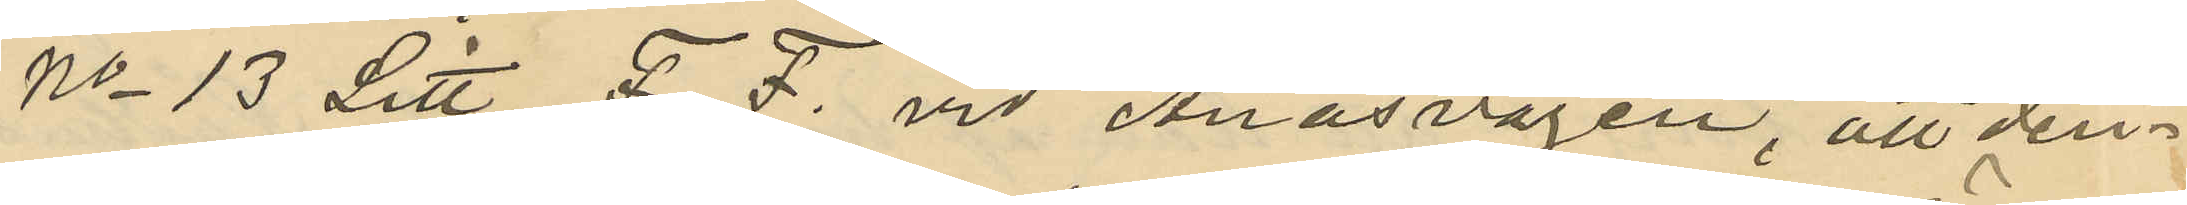No 13 Litt. F. F. vid Ånässvägen, att den¬
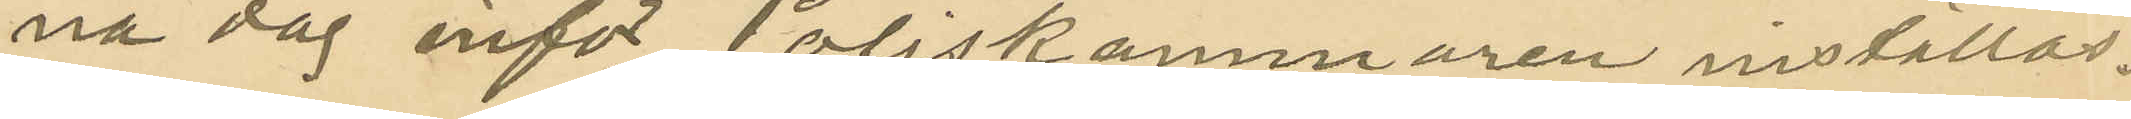na dag inför Poliskammaren inställas.
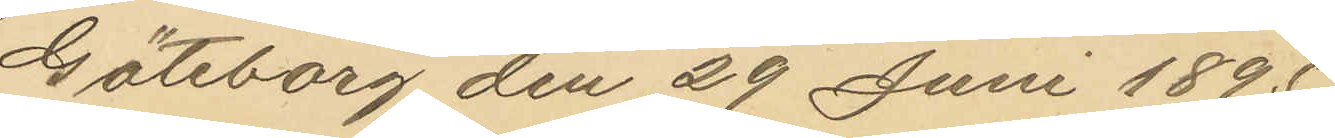Göteborg den 29 Juni 1895.
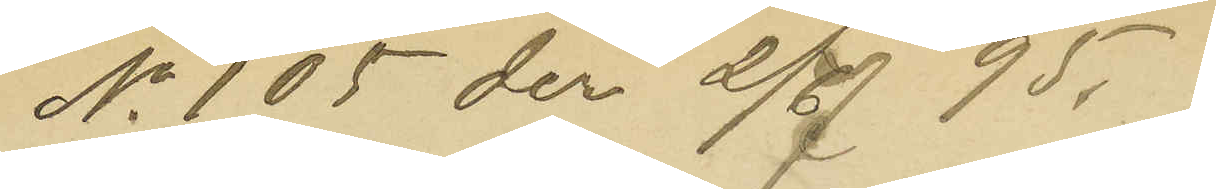No 105 den 2/7 95.
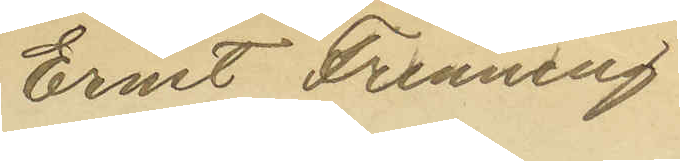Ernst Frenning
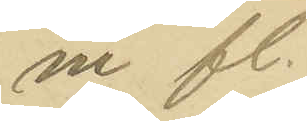m fl.
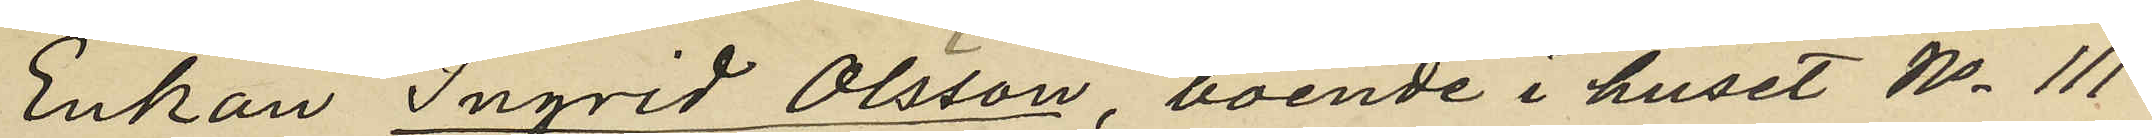Enkan Ingrid Olsson, boende i huset No 111
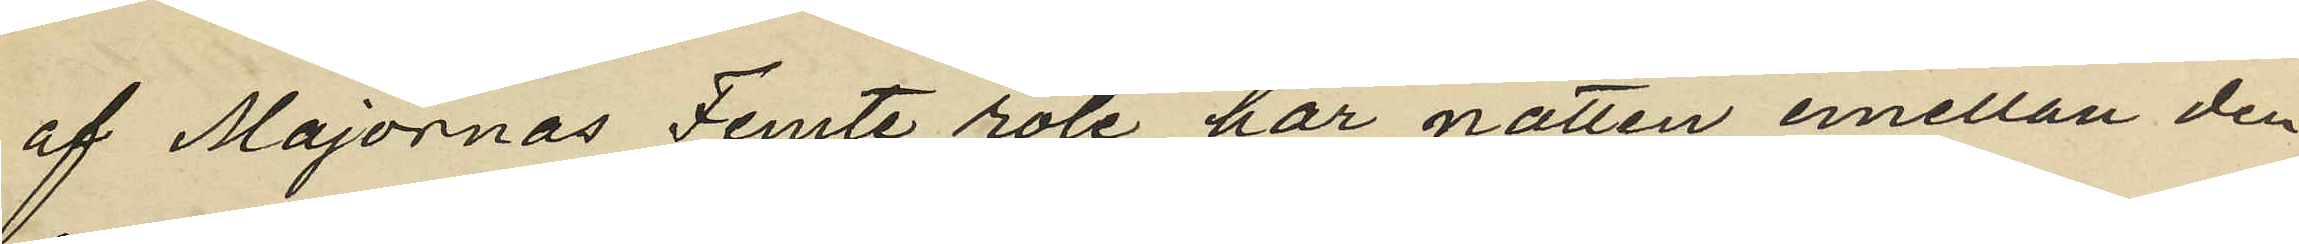af Majornas Femte rote har natten emellan den
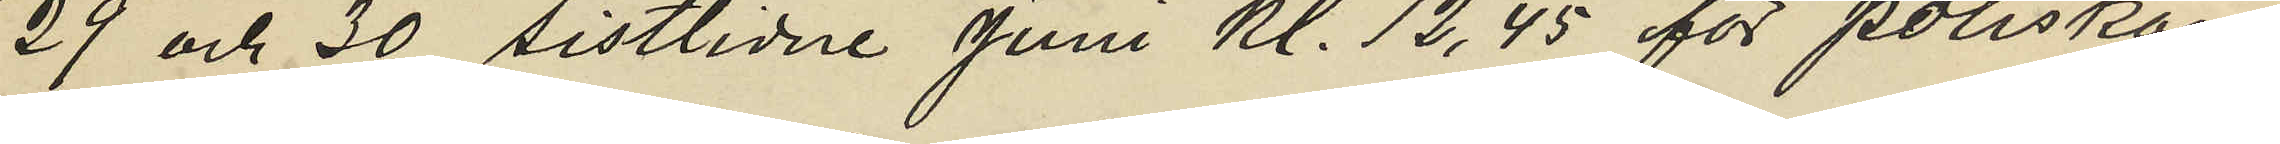29 och 30 sistlidne Juni kl. 12,45 för poliskon¬
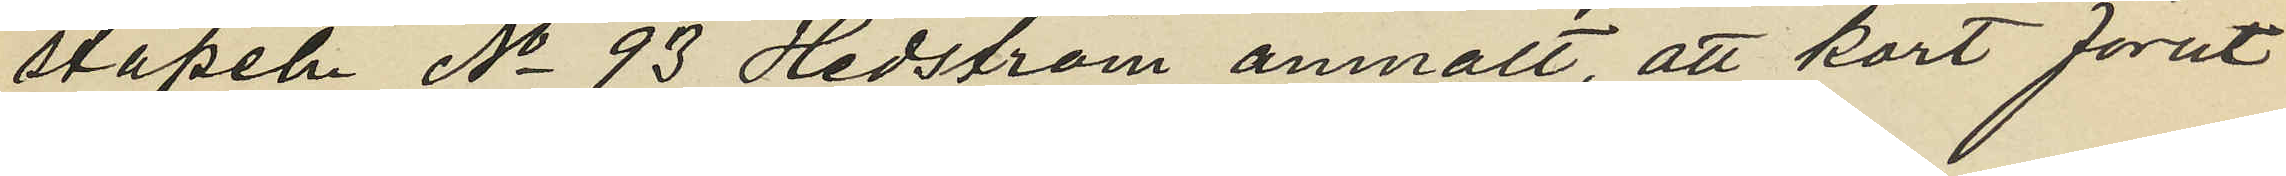stapeln No 93 Hedström anmält, att kort förut
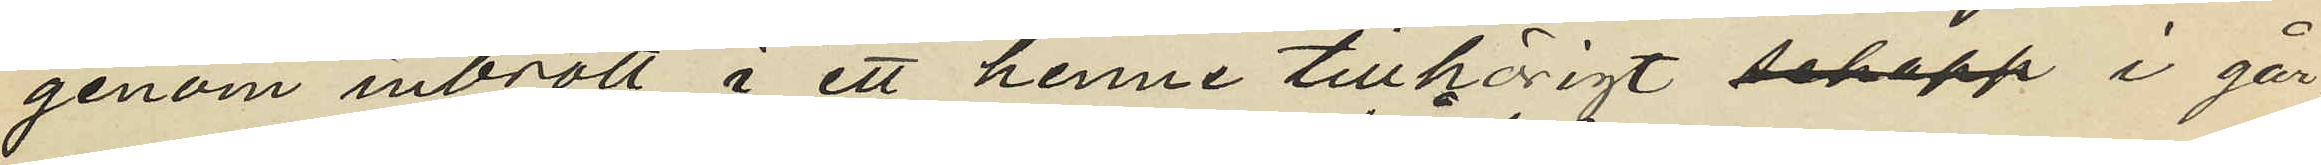genom inbrott i ett henne tillhörigt schapp i går¬
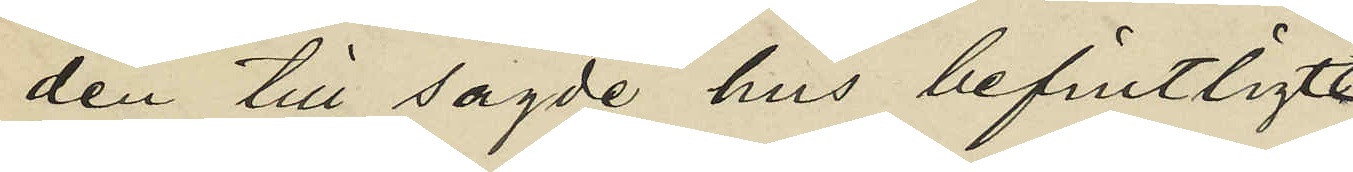den till sagde hus befintligt
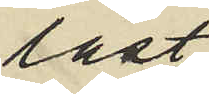låst
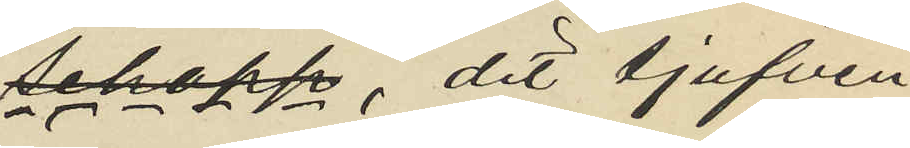schapp, dit tjufven
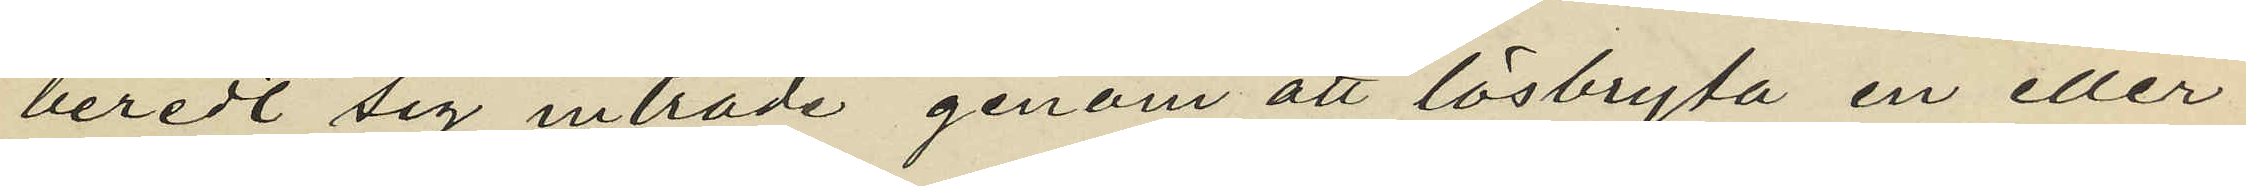beredt sig inträde genom att lösbryta en eller
